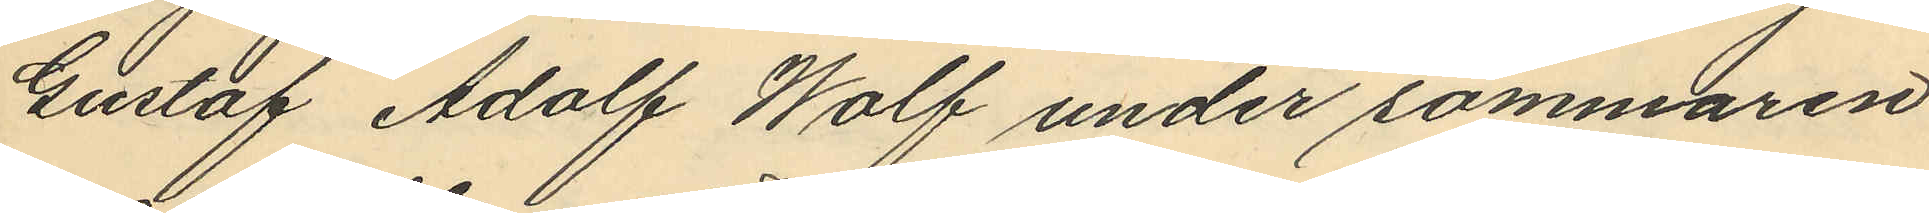Gustaf Adolf Wolf under sommaren
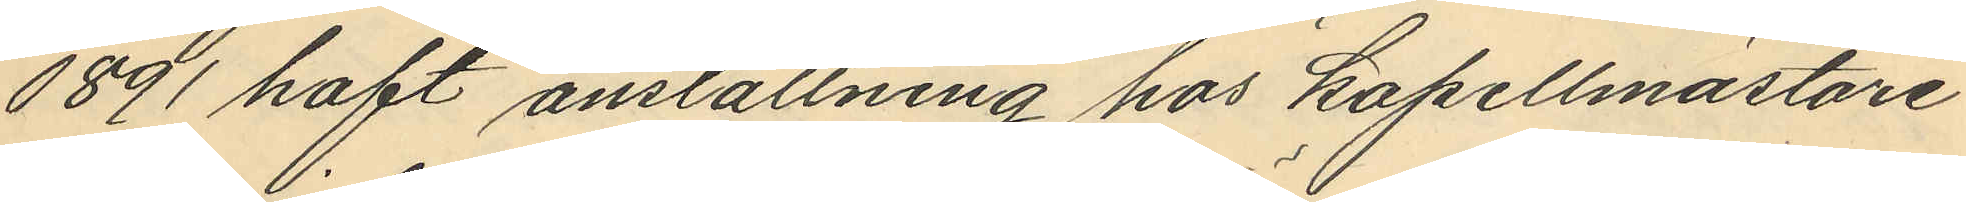1891 haft anställning hos kapellmästare
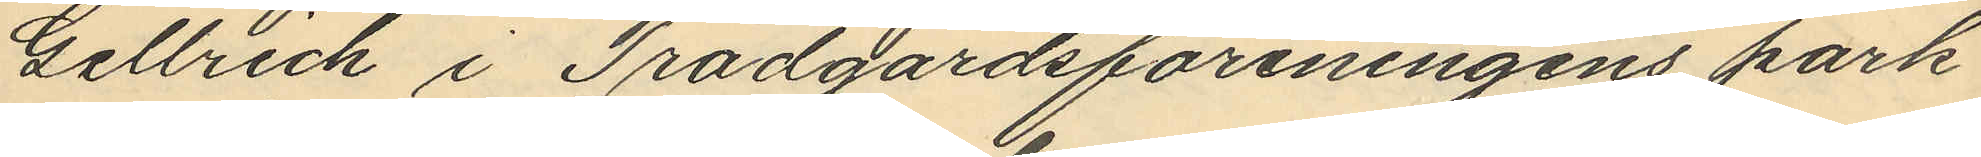Gellrich i Trädgårdsföreningens park
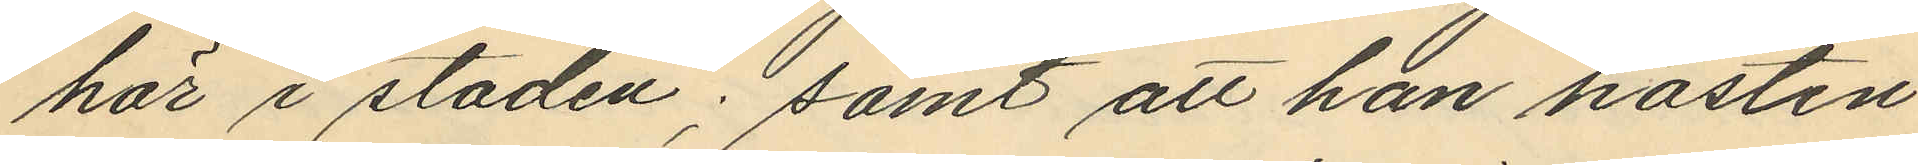här i staden; samt att han hösten
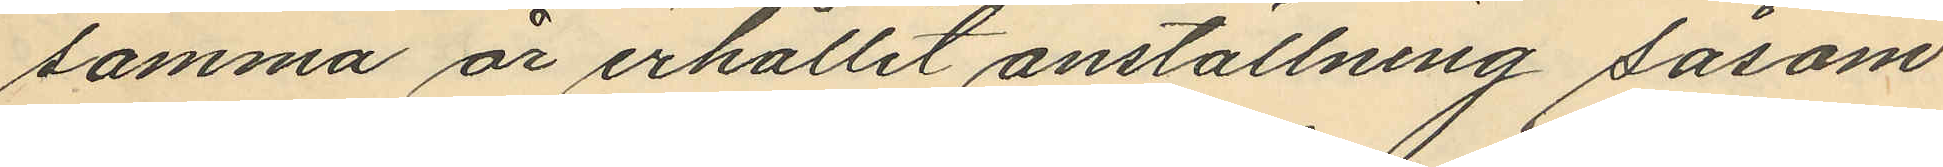samma år erhållit anställning såsom
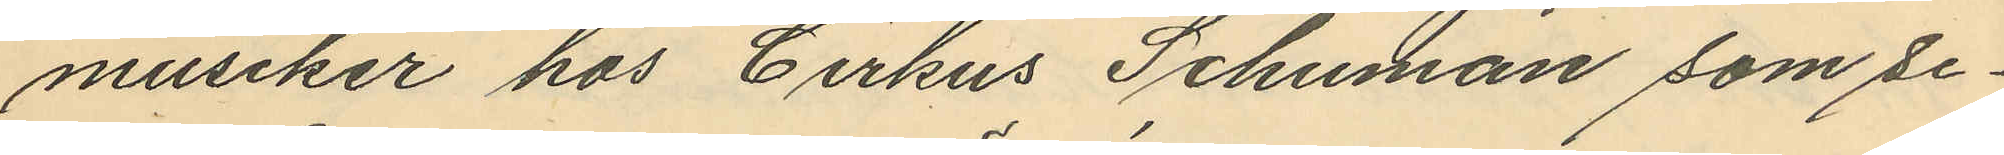musiker hos Cirkus Schuman som se¬
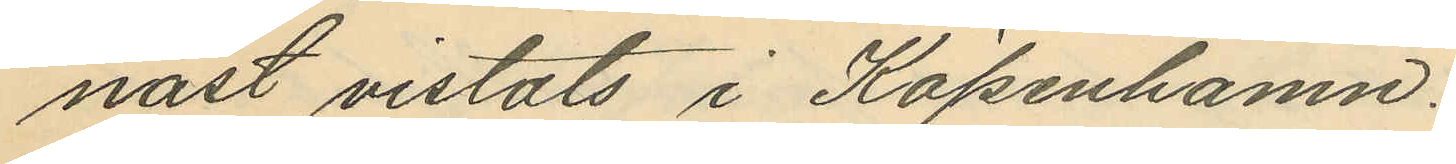nast vistats i Köpenhamn.
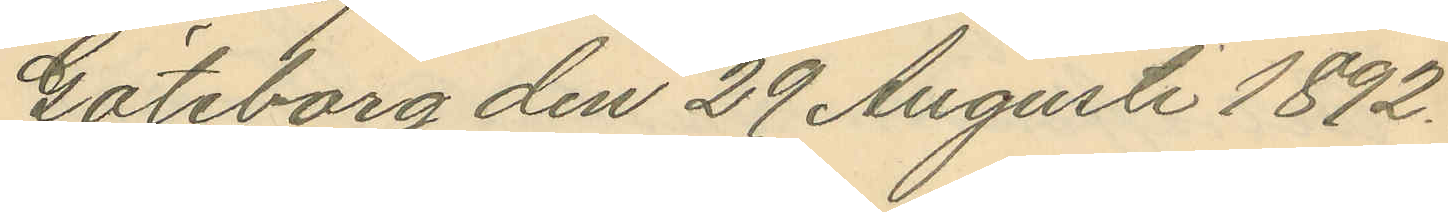Göteborg den 29 Augusti 1892.
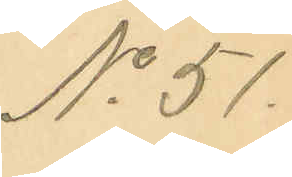No 51.
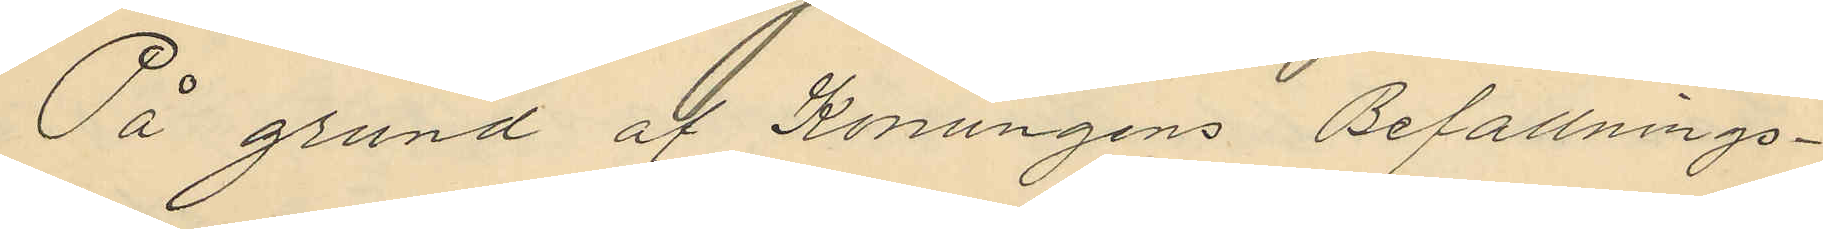På grund af Konungens Befallnings¬
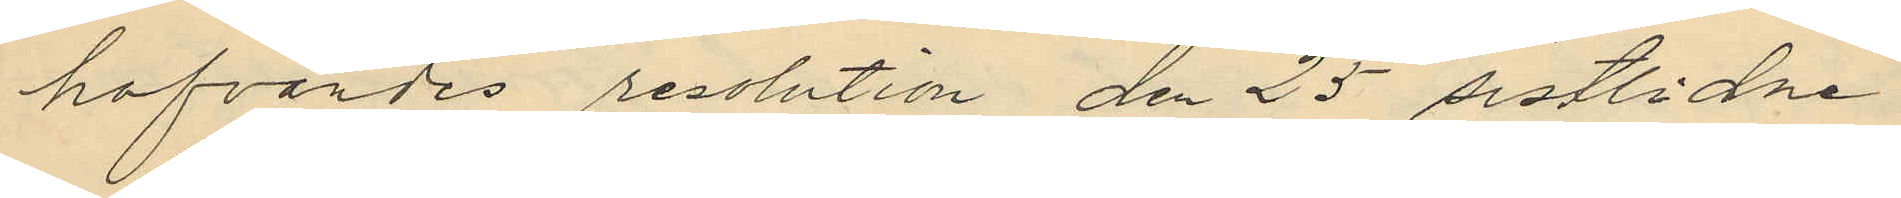hafvandes resolution den 25 sistlidne
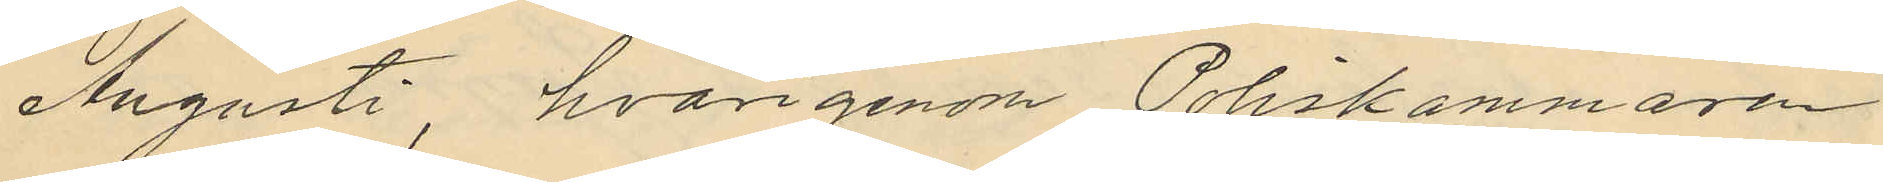Augusti, hvarigenom Poliskammaren
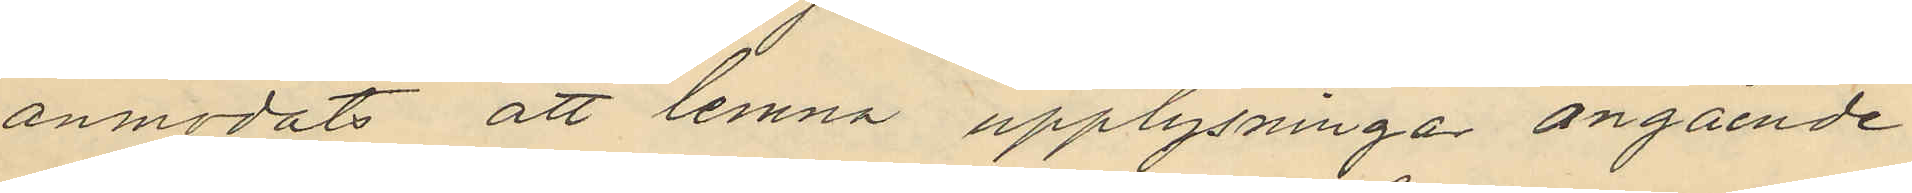anmodats att lemna upplysningar angående
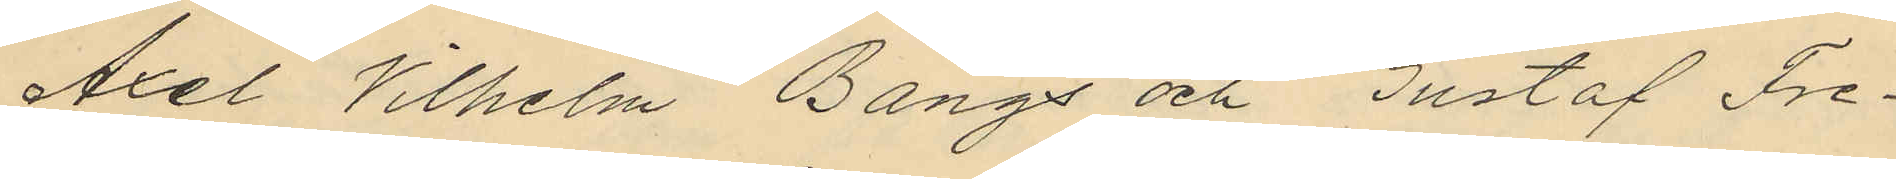Axel Vilhelm Bangs och Gustaf Fre¬
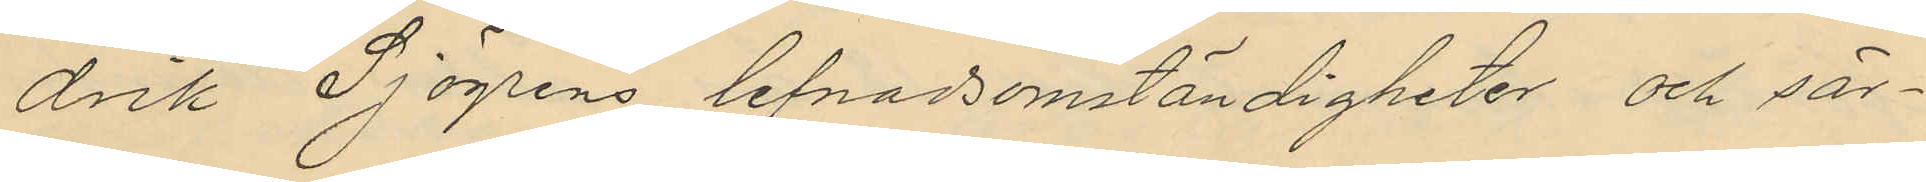drik Sjögrens lefnadsomständigheter och sär¬
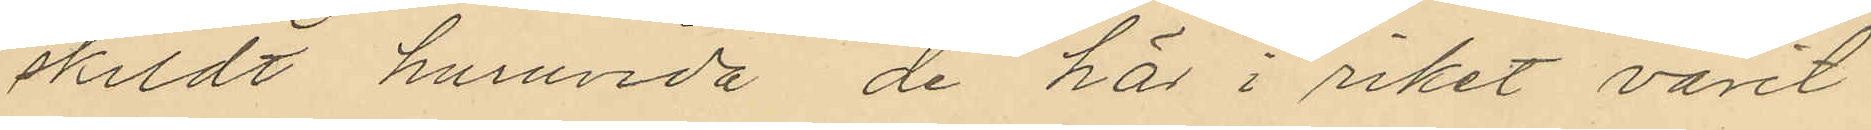skildt hurunda de här i riket varit
